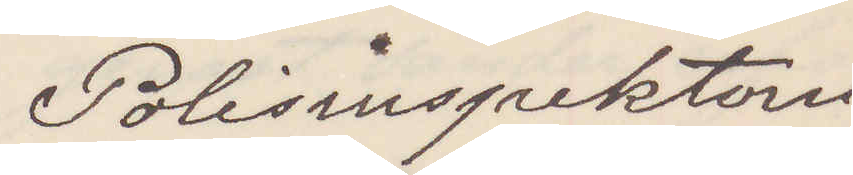Polisinspektorn
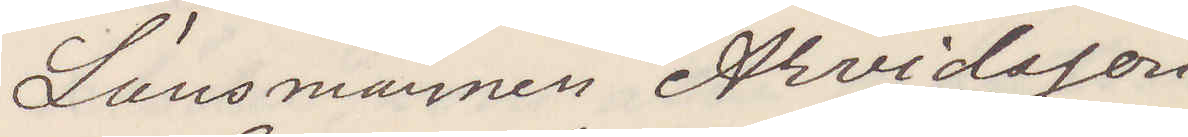Länsmannaen Arvidsson
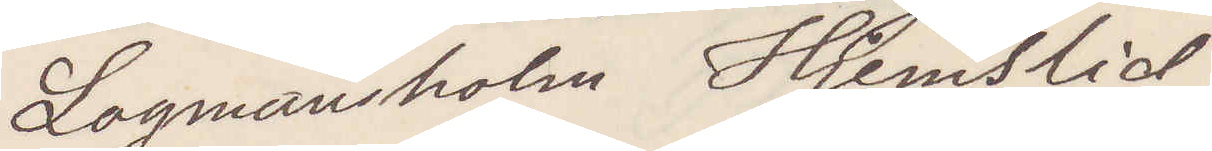Lagmansholm Hjelmslid
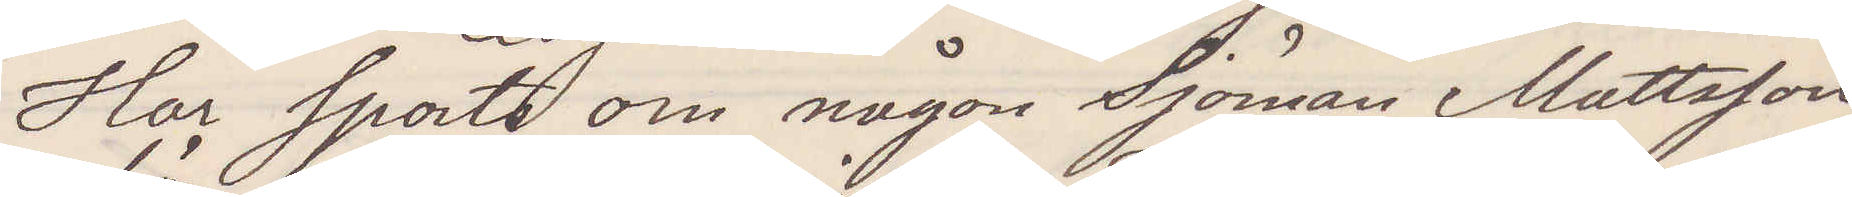Har sports om någon Sjöman Mattsson
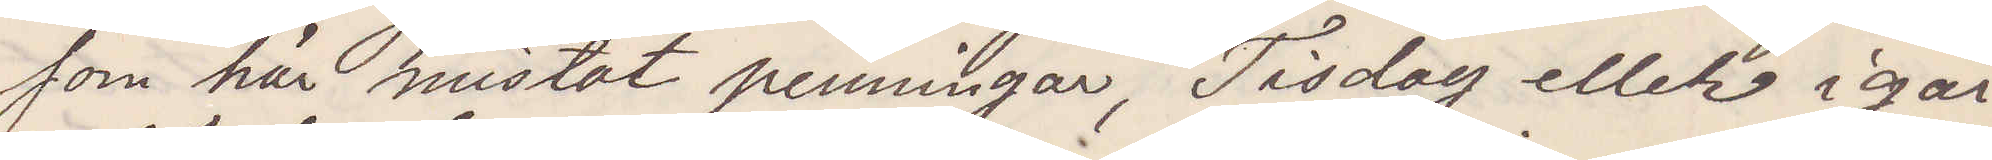som här mistat penningar, Tisdag eller igår
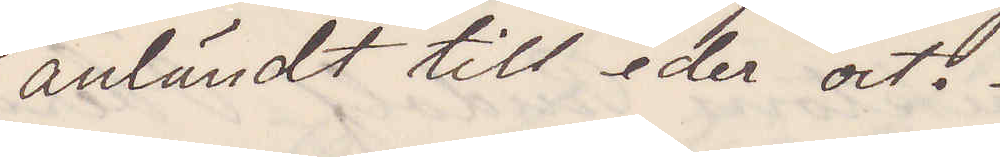anländt till eder ort.
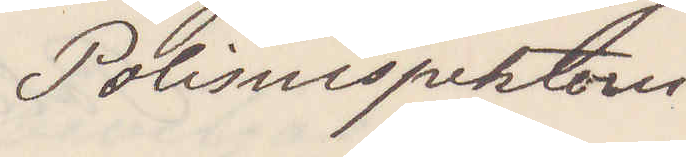Polisinspektorn
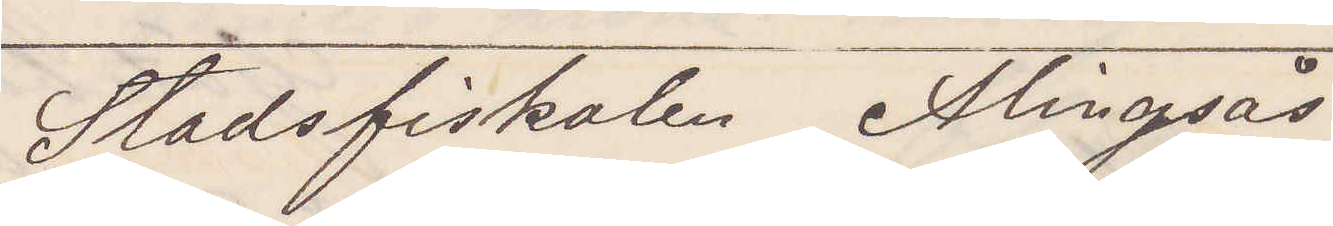Stadsfiskalen Alingsås.
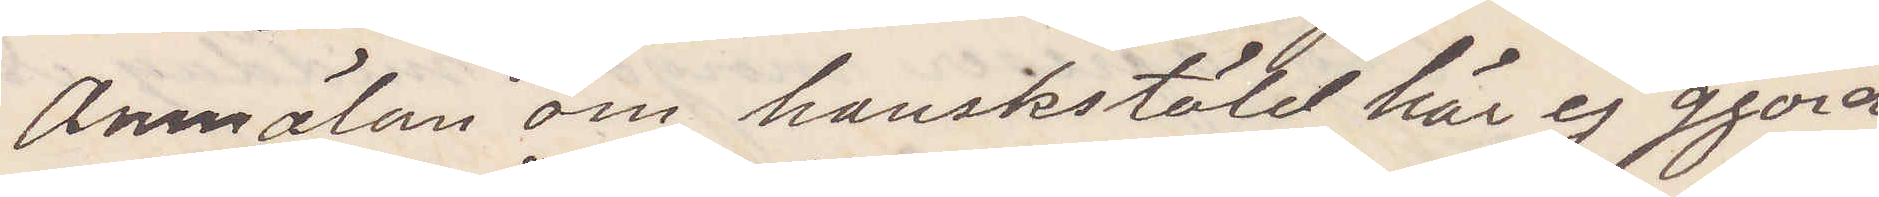Anmälan om hanskstöld här ej gjord
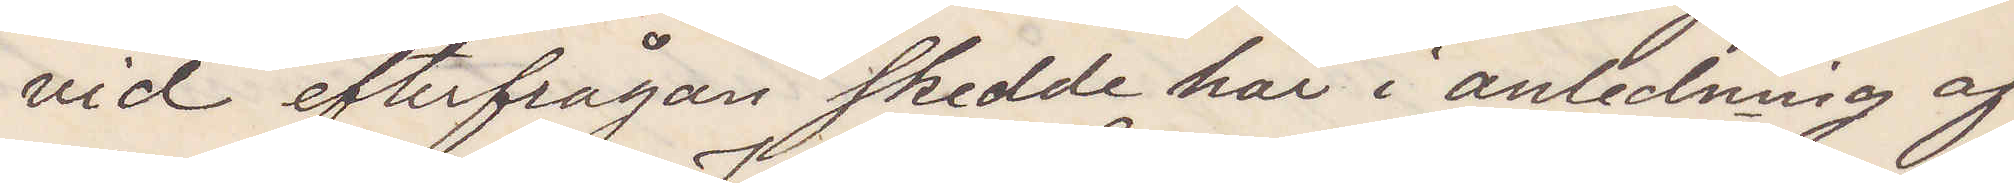vid efterfrågan skedde här i anledning af
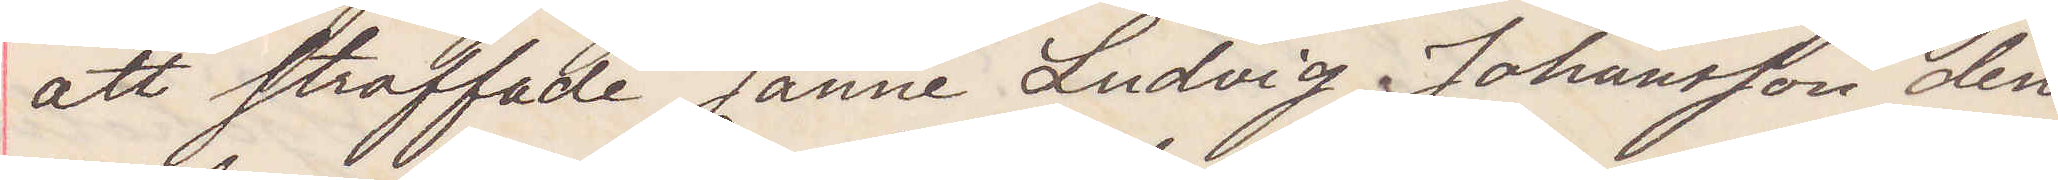att straffade Janne Ludvig Johansson den
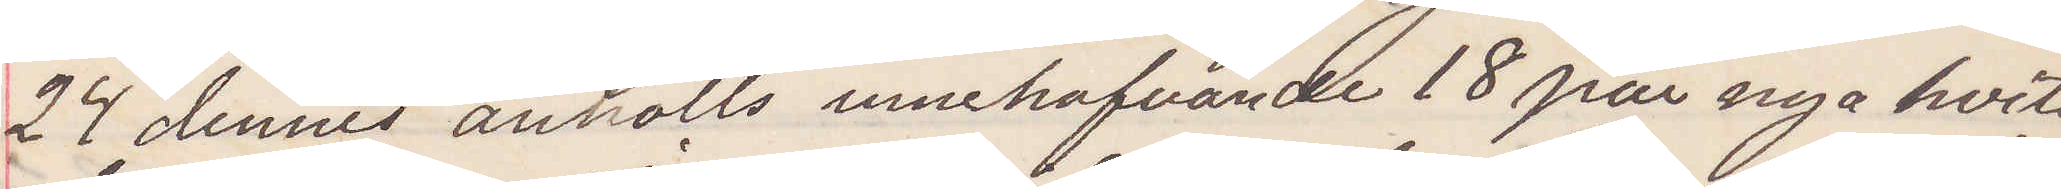24 dennes anhölls innehafvande 18 par nya hvita
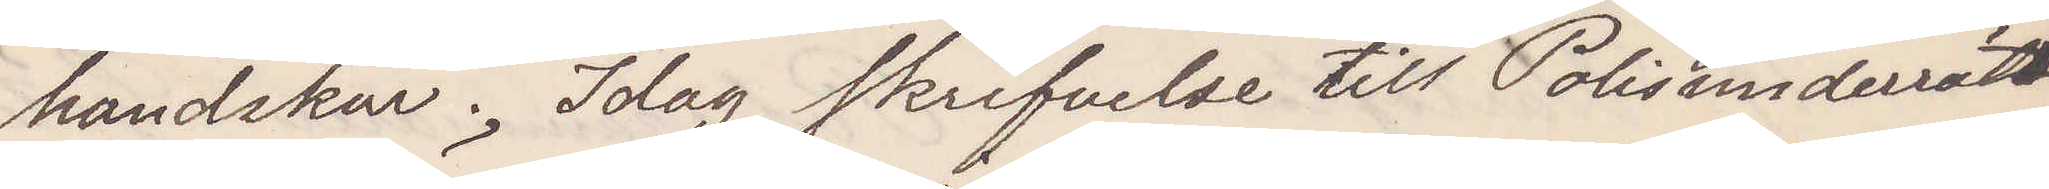handskar. Idag skrifvelse till Polisunderrät¬
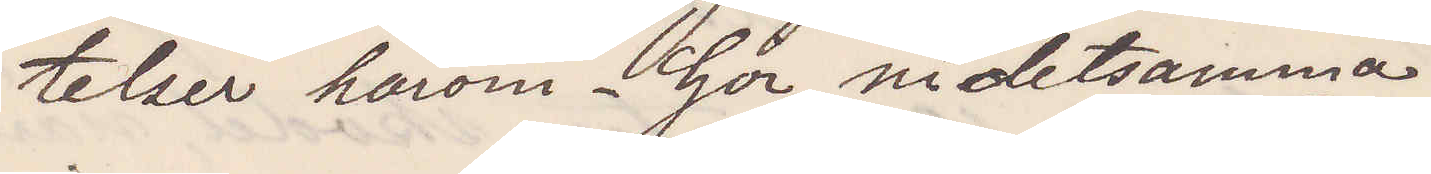telser härom. Gör ni detsamma.
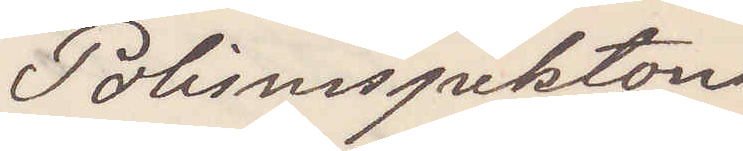Polisinspektorn
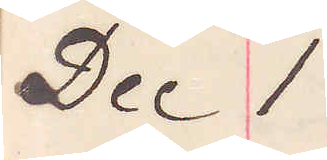dec 1
